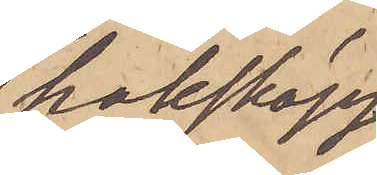hakskägg,
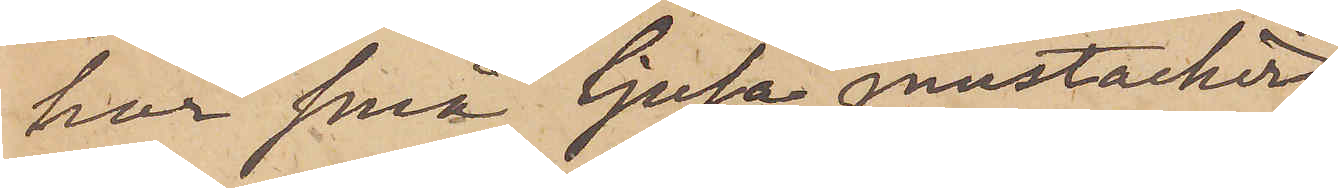har små ljusa mustacher,
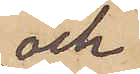och
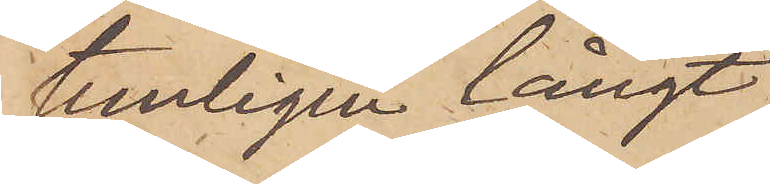temligen långt
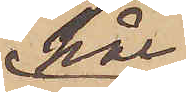hår
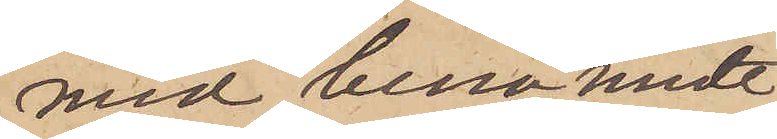med bena midt
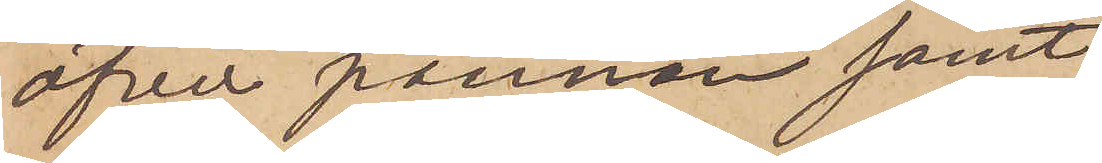öfver pannan samt
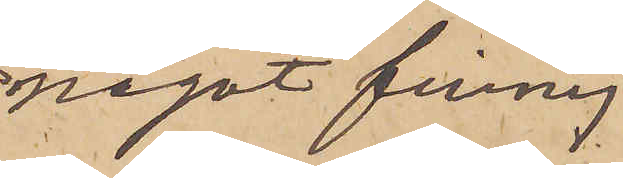något finnig
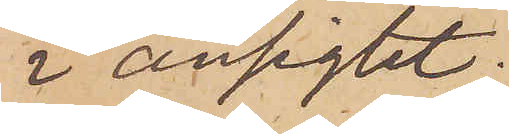i ansigtet.
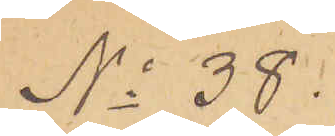No 38.
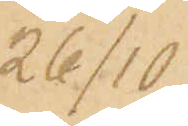26/10
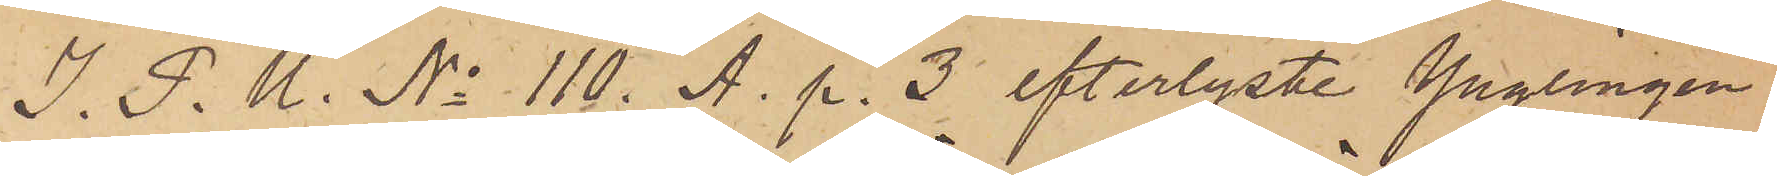I. P. U. No 110. A. p. 3 efterlyste Ynglingen
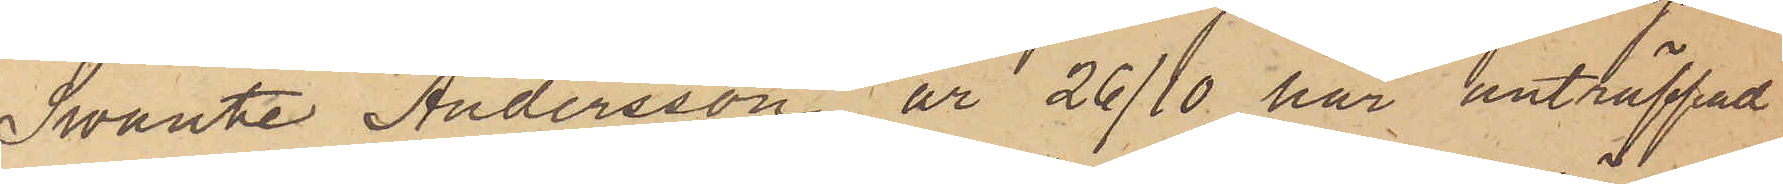Swante Andersson är 26/10 här anträffad
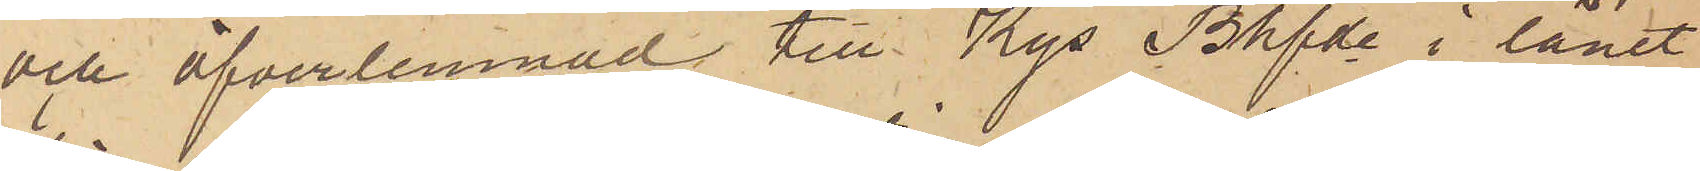och öfverlemnad till Kgs Bhfde i länet
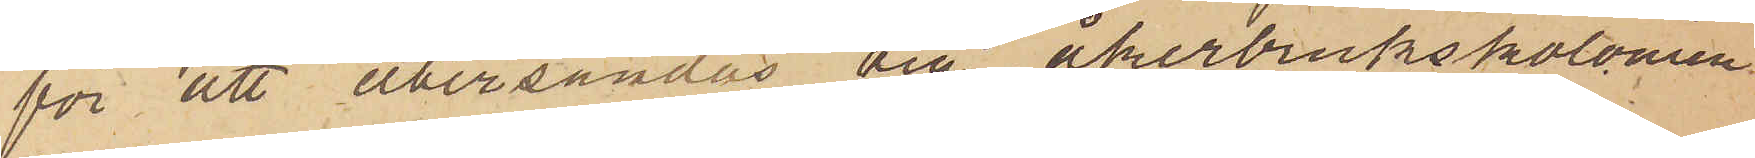för att återsändas till Åkerbrukskolonien
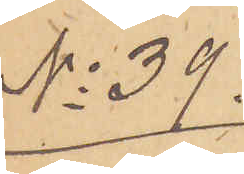No 39.
